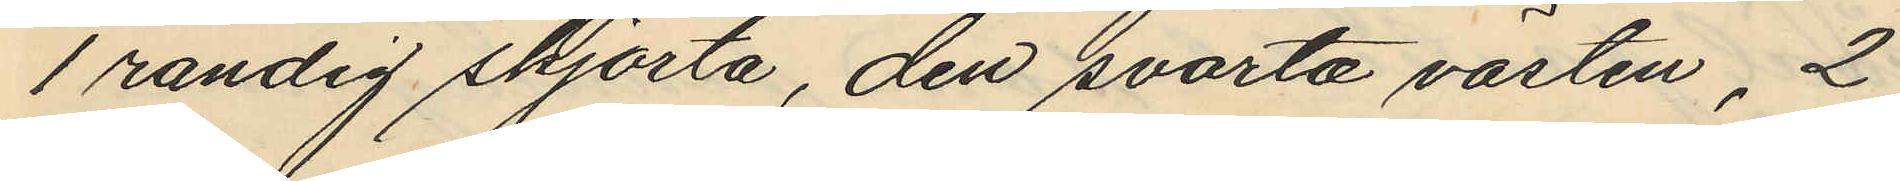1 randig skjorta, den svarta västen, 2
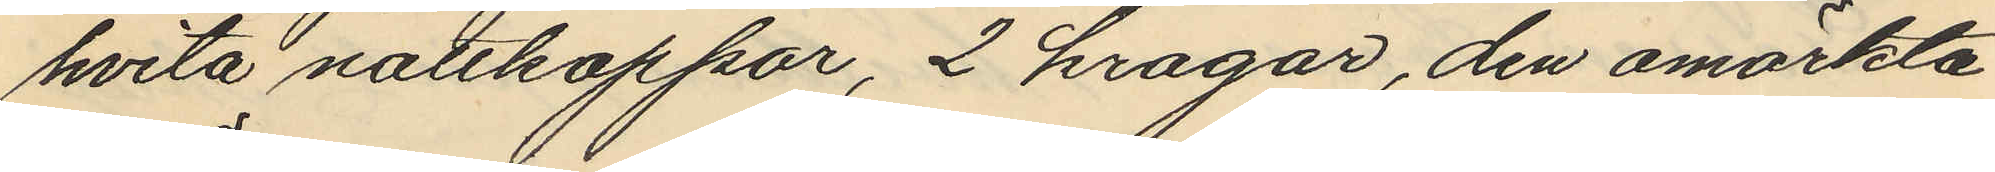hvita nattkappor, 2 kragar, den omärkta
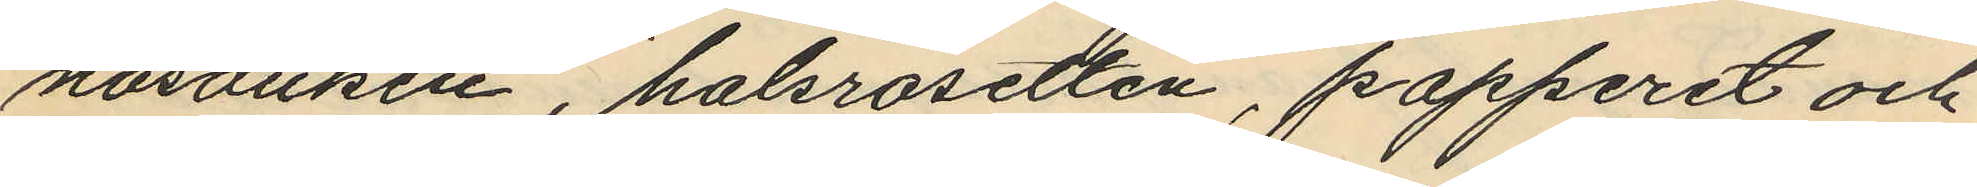näsduken, halsrosetten, papperet och
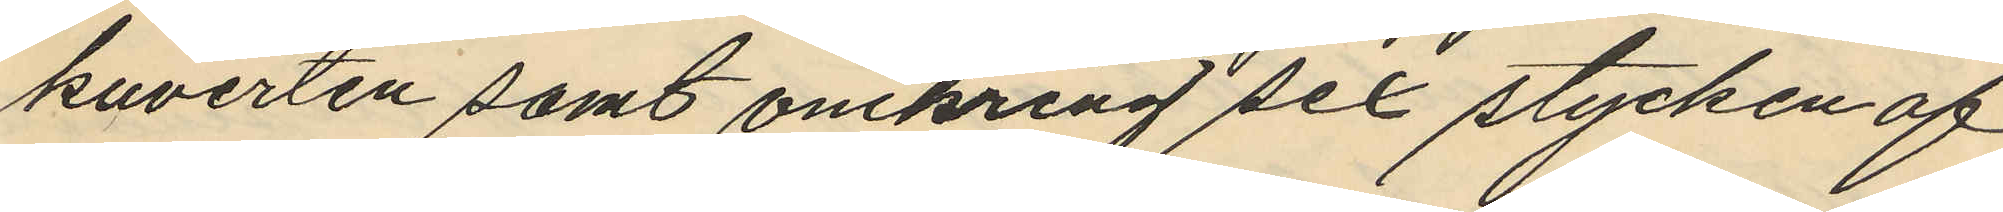kuverten samt omkring sex stycken af
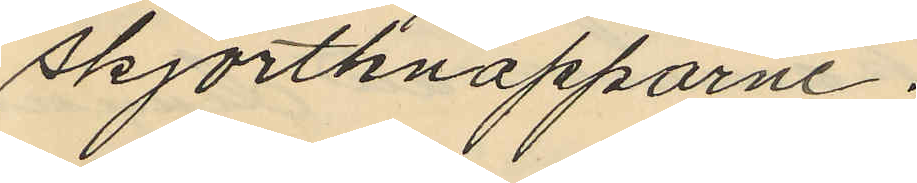skjortknapparne.
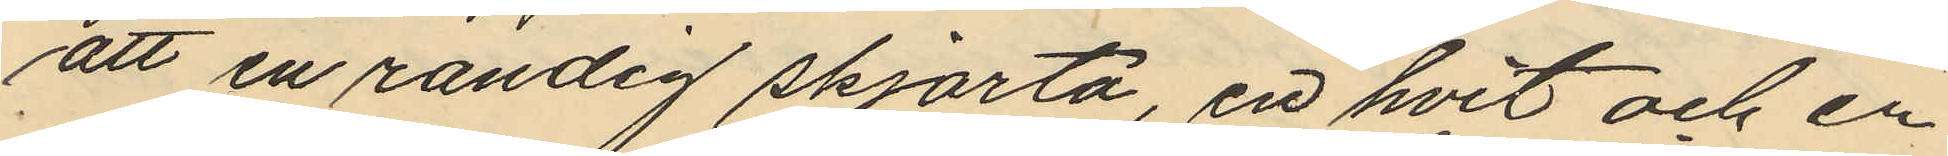att en randig skjorta, en hvit och en
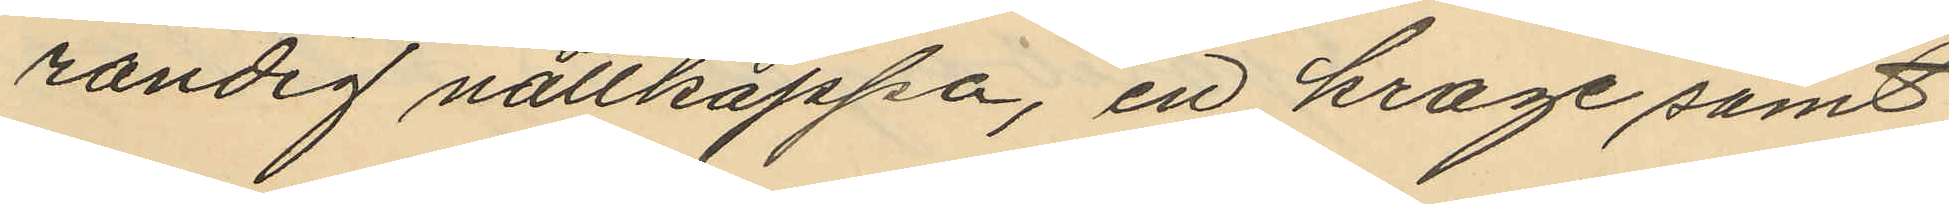randig nattkappa, en krage samt
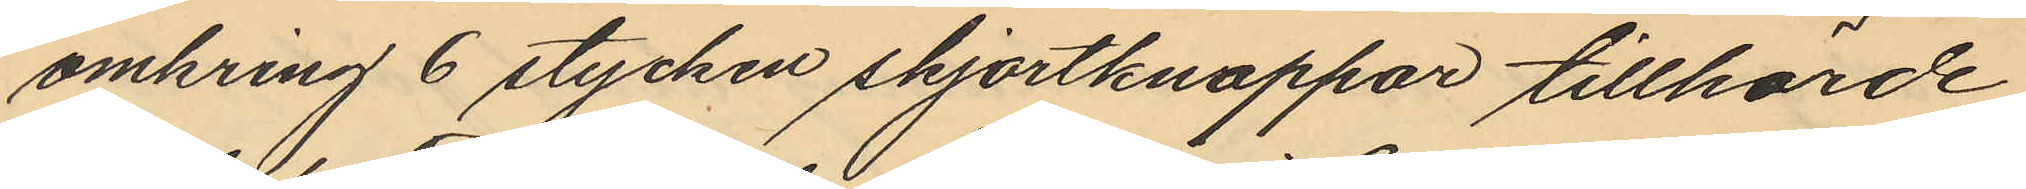omkring 6 stycken skjortknappar tillhörde
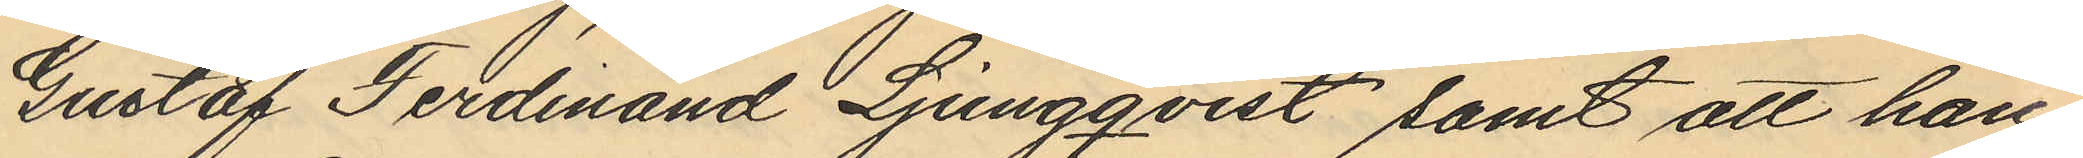Gustaf Ferdinand Ljungqvist samt att han
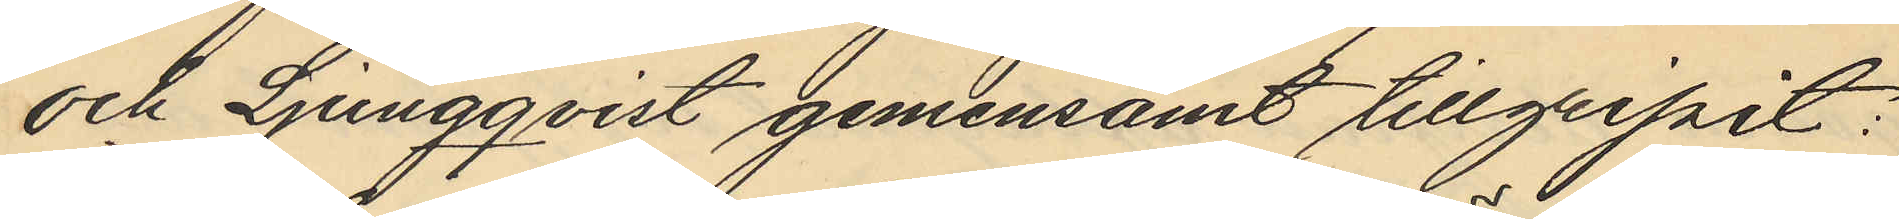och Ljungqvist gemensamt tillgripit:
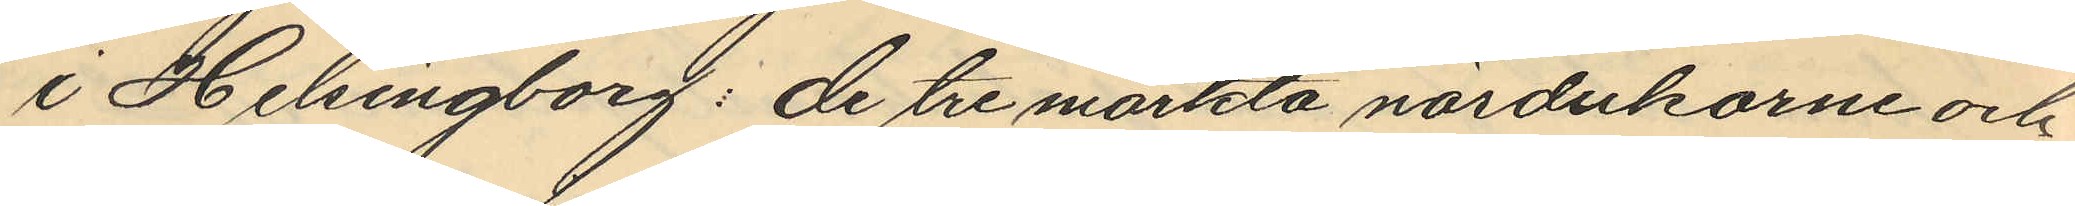i Helsingborg: de tre märkta näsdukarne och
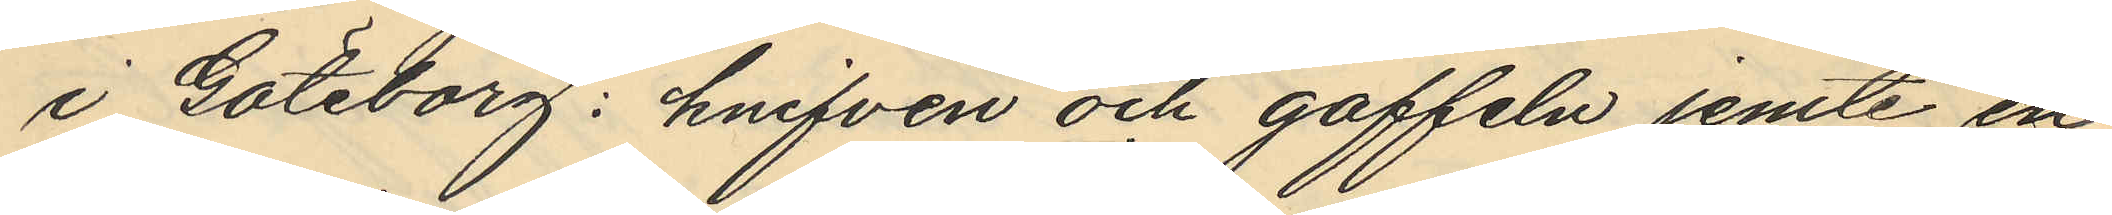i Göteborg: knifven och gaffeln jemte en
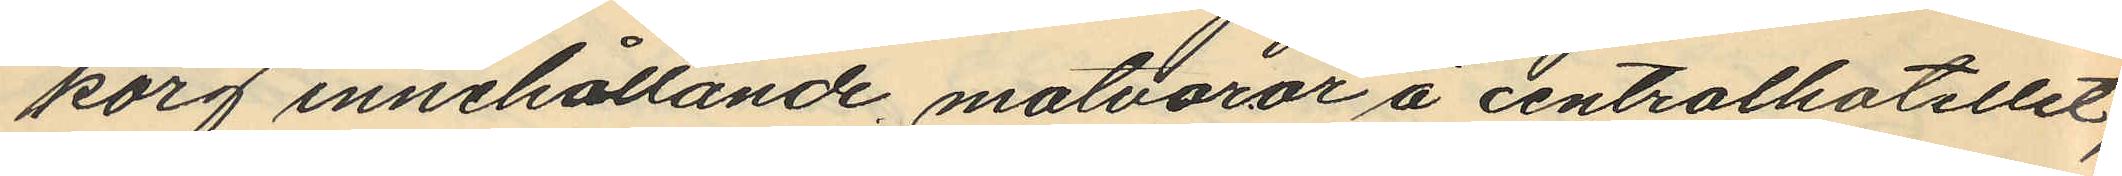korg innehållande matvaror å centralhotellet;
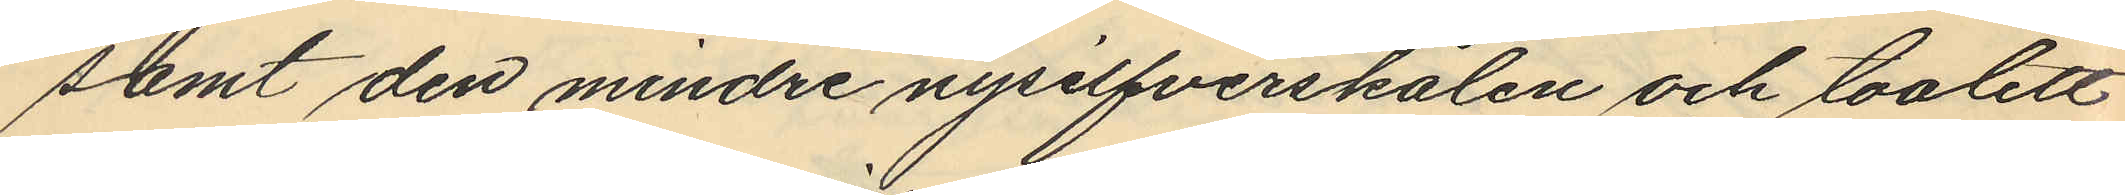samt den mindre nysilfverskålen och toalett
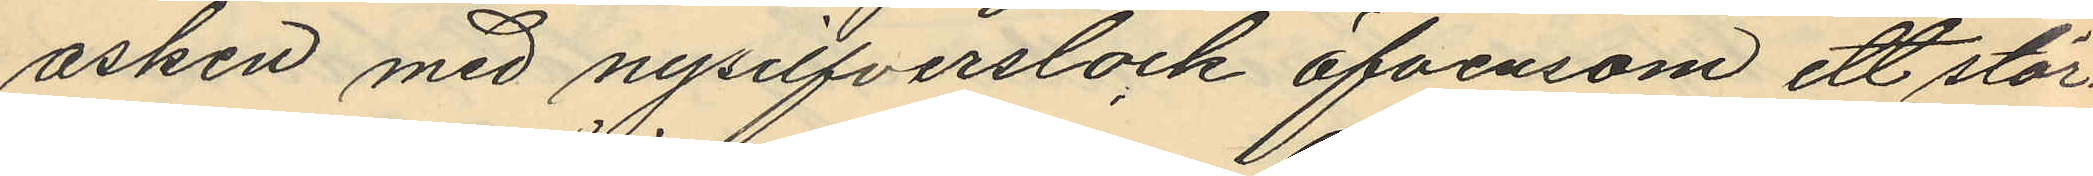asken med nysilfverslock äfvensom ett stör¬
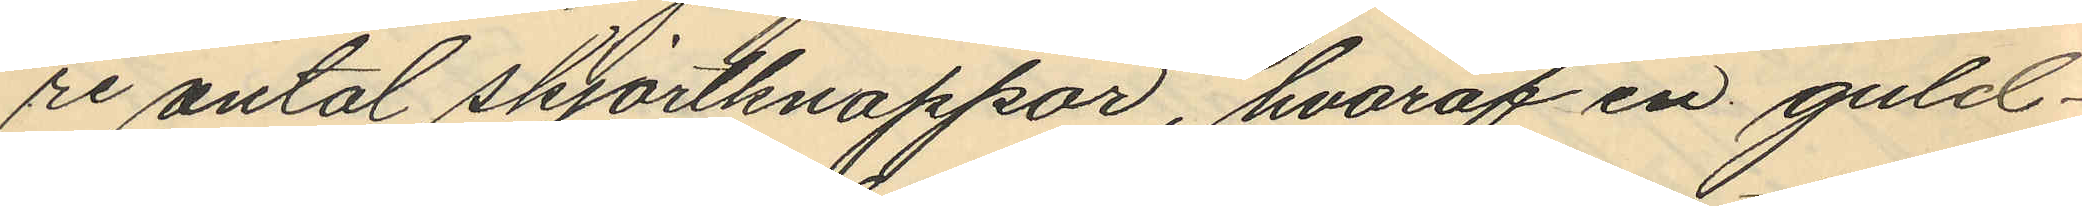re antal skjortknappar, hvaraf en guld¬
